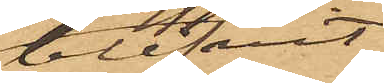blifvit
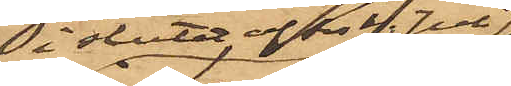i slutet av sist. Juli
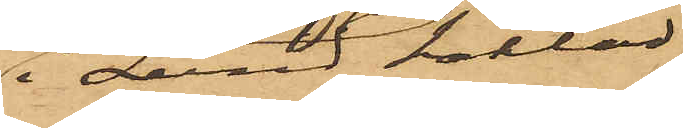i Lund häktad
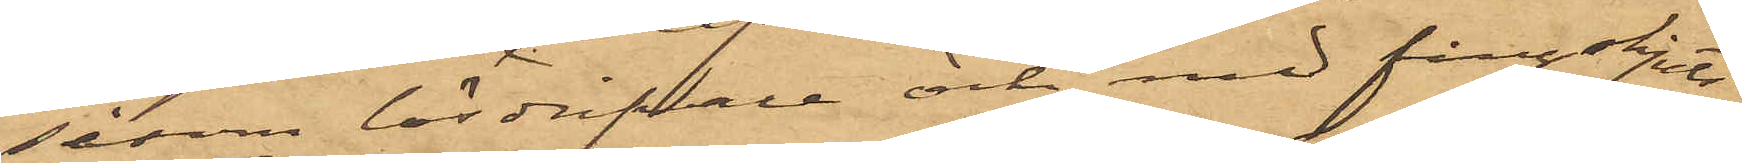såsom lösdrifvare och med fångskjuts
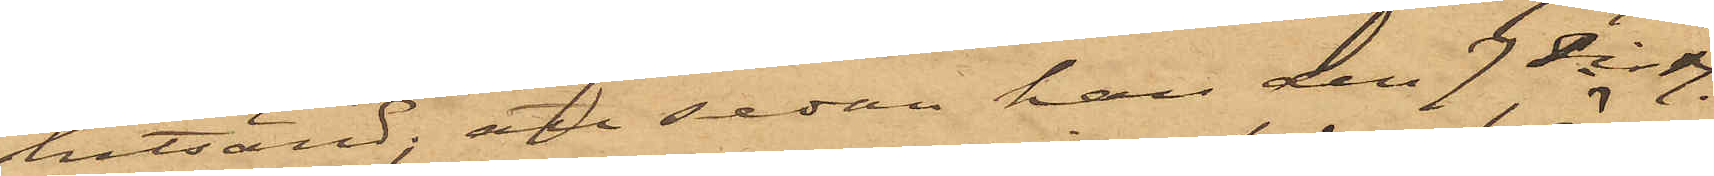hitsänd; att sedan han den 7 sist.
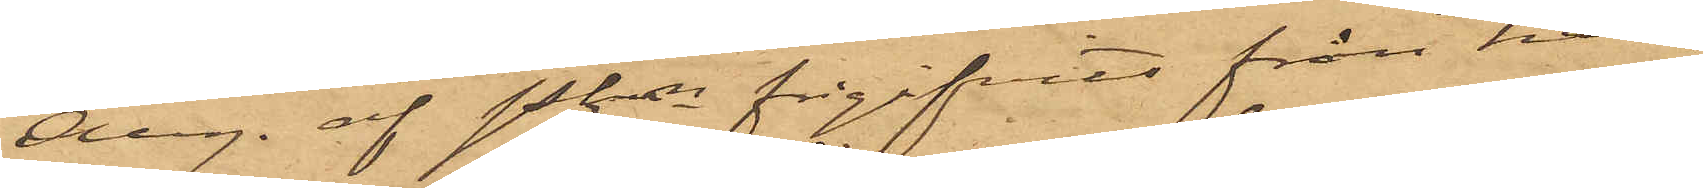Aug. af Pkn frigifvits från här¬
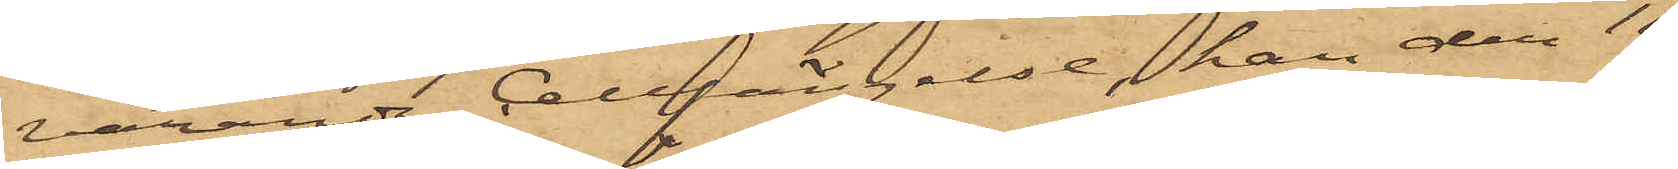varande Cellfängelse, han den 11
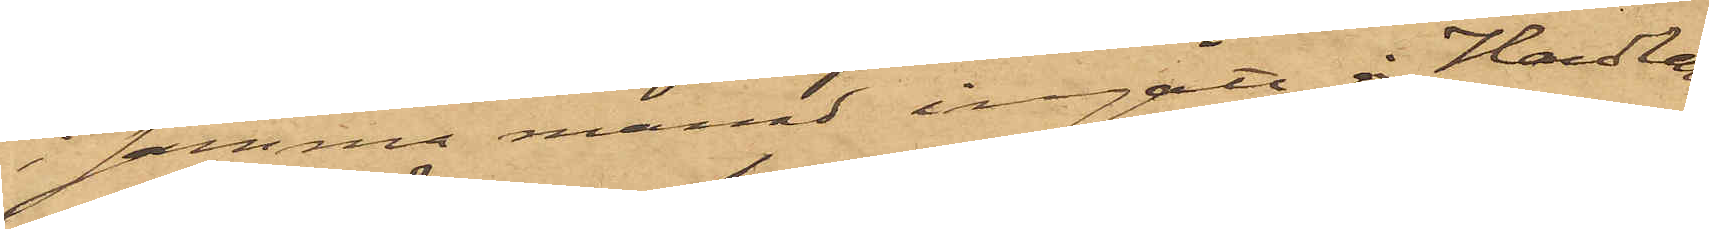i samma månad ingått å Handlan¬
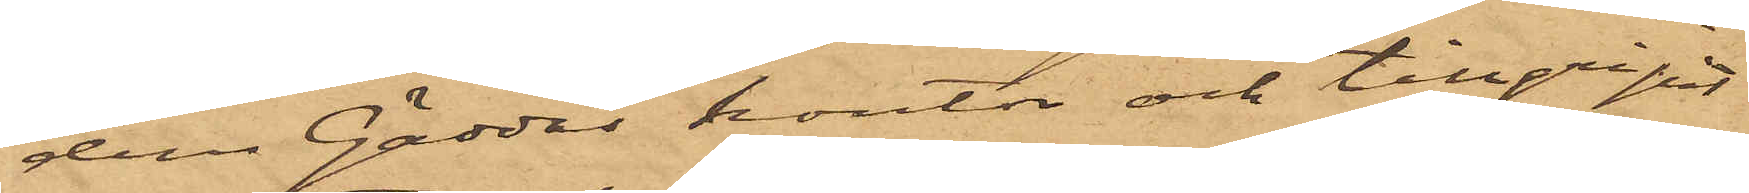den Gäddas kontor och tillgripit
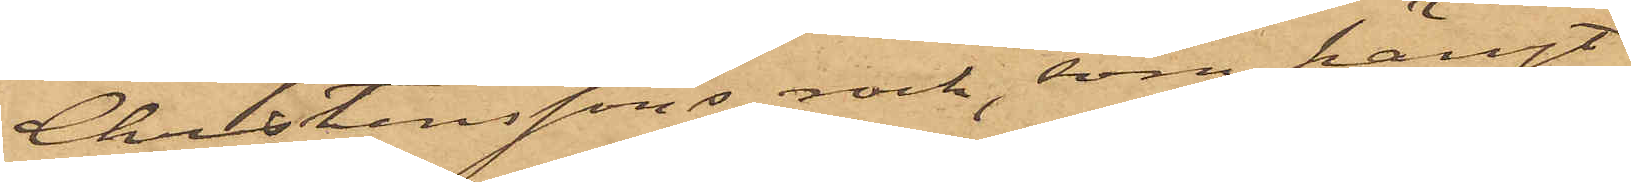Christenssons rock, som hängt
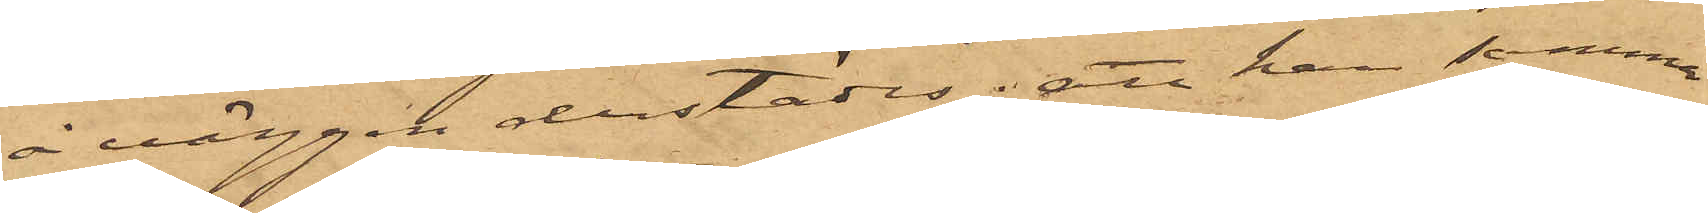å väggen derstädes; att han samma
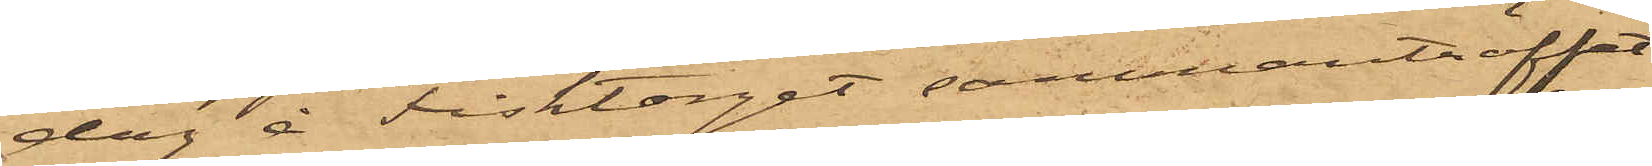dag å Fisktorget sammanträffat
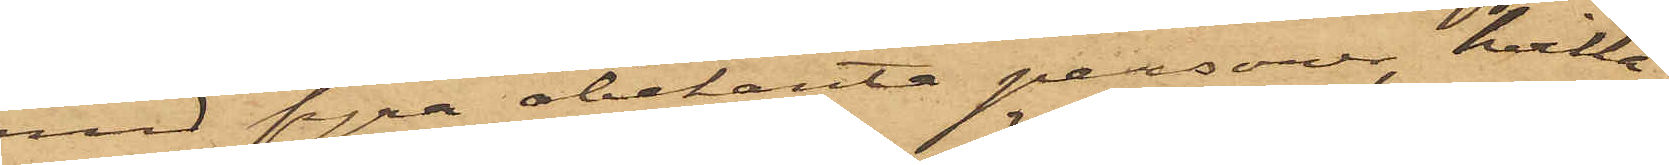med fyra obekanta personer, hvilka
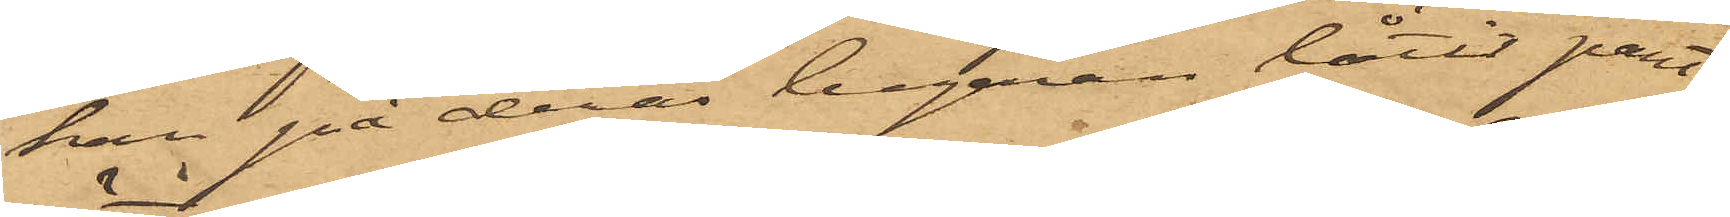han på deras begäran låtit pant¬
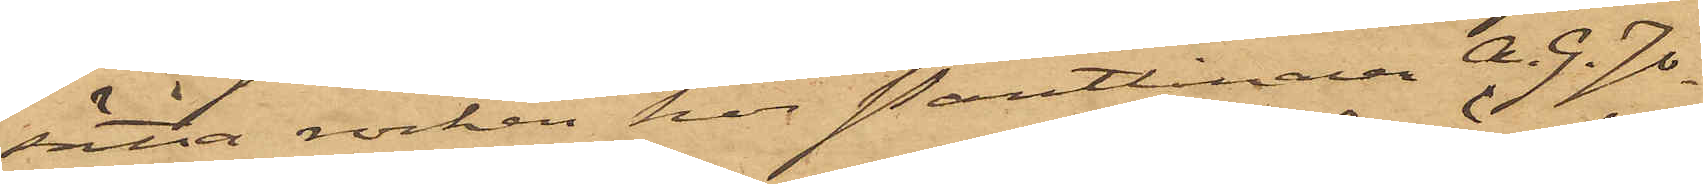sätta rocken hos Pantlånaren A. G. Jo¬
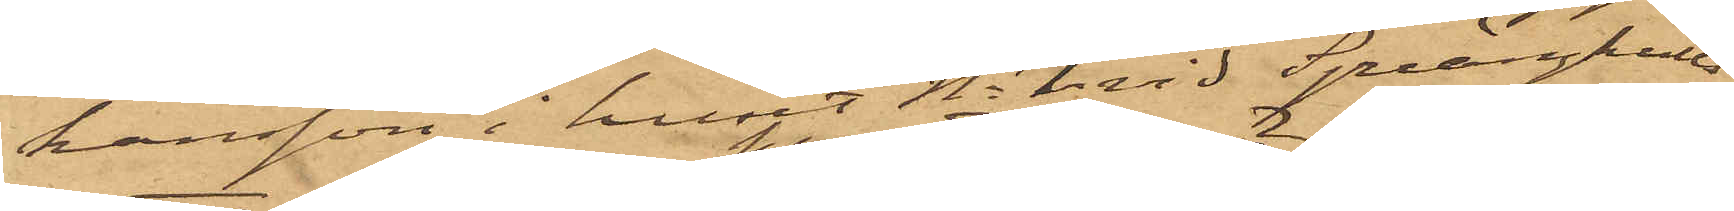hansson i huset No 1 vid Sprängkulls¬
